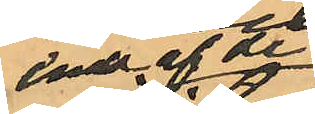ena af de
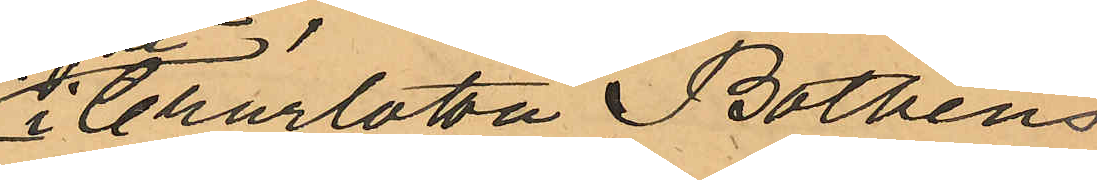i Charlotta Bothéns
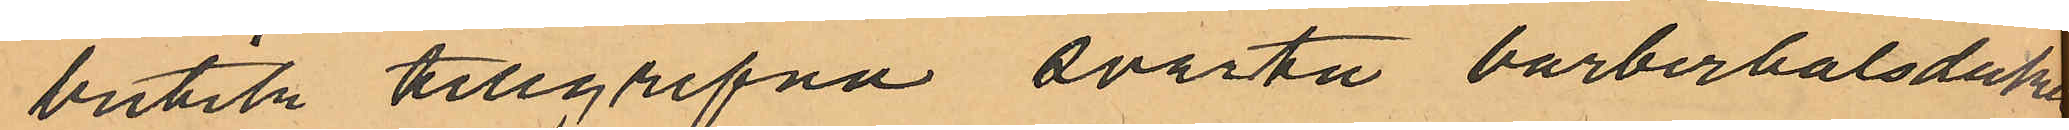butik tillgripna svarta barberhalsduken.
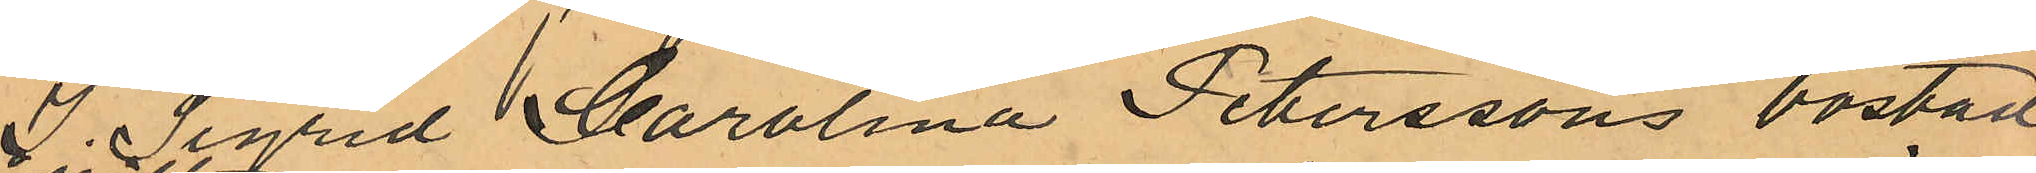I Sigrid Carolina Peterssons bostad
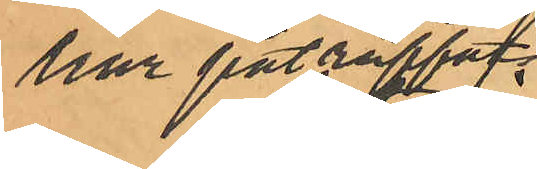har påträffats
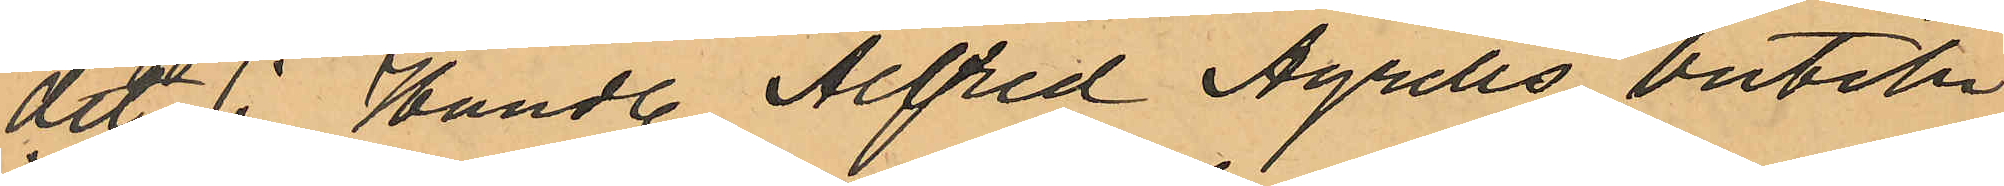det i Handl. Alfred Agrells butik
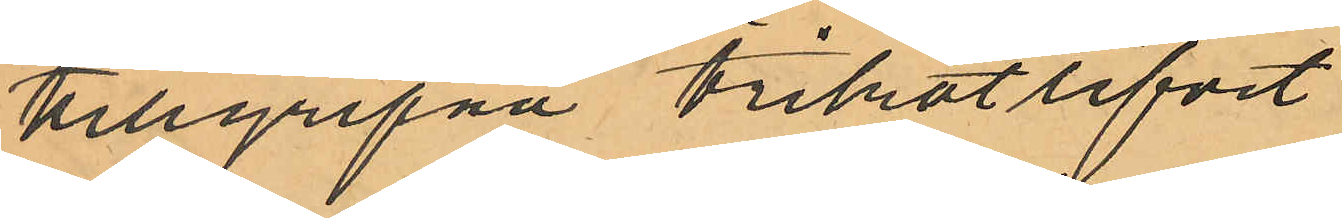tillgripna trikotlifvet.
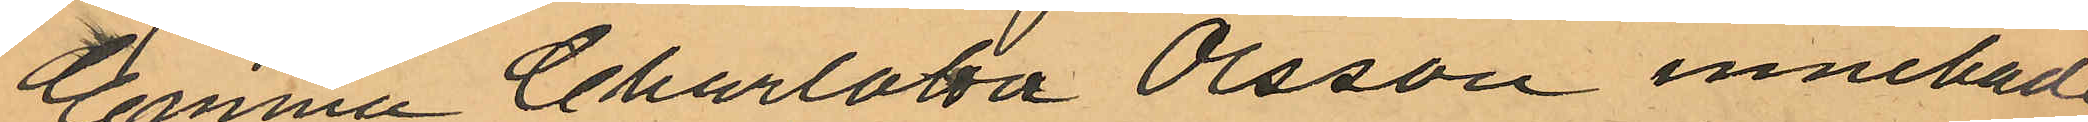Emma Charlotta Olsson innehade
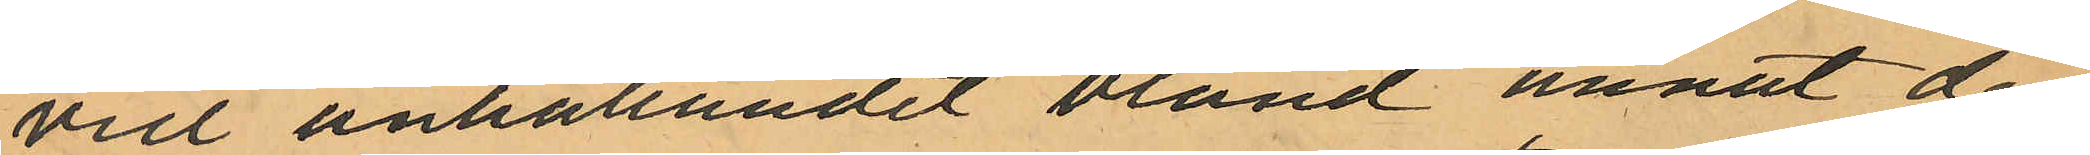vid anhållandet bland annat den
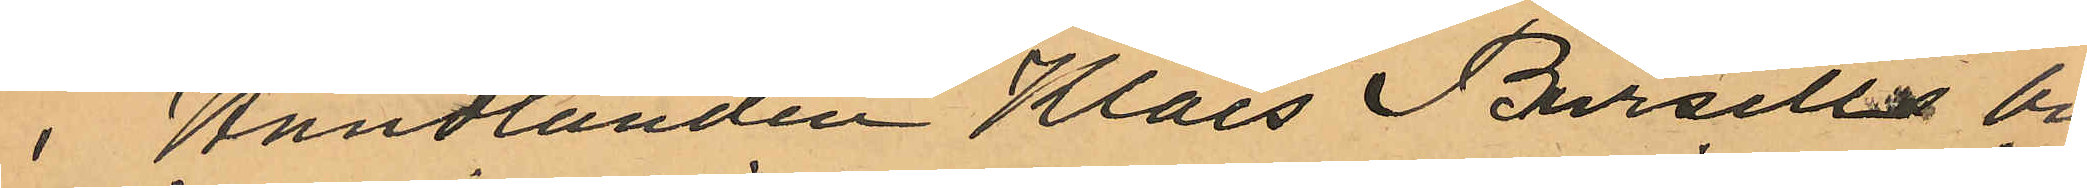i Handlanden Klas Bursells bu¬
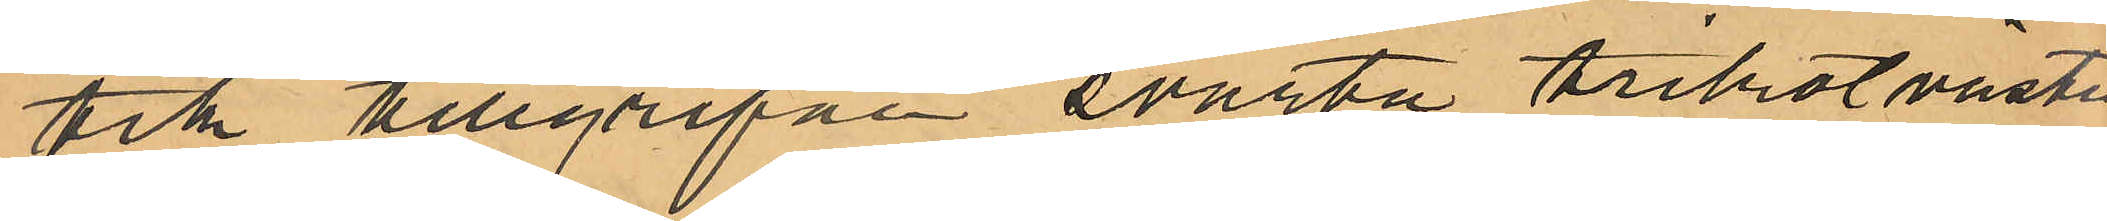tik tillgripne svarta trikotvästen.
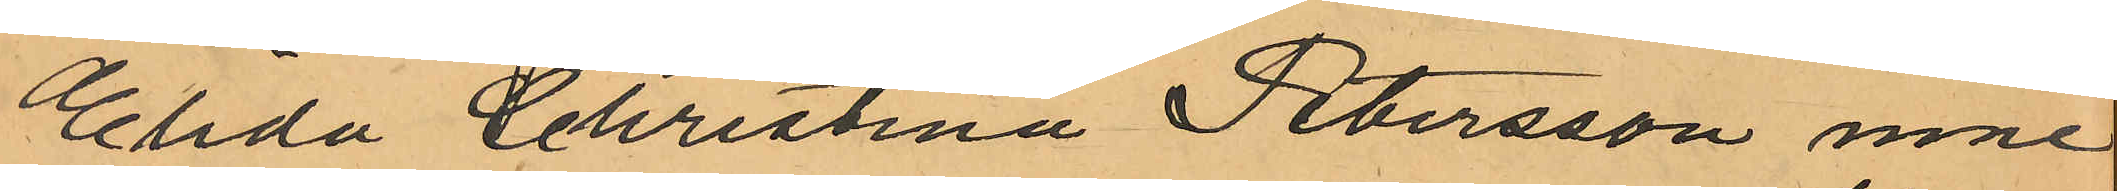Elida Christina Petersson inne¬
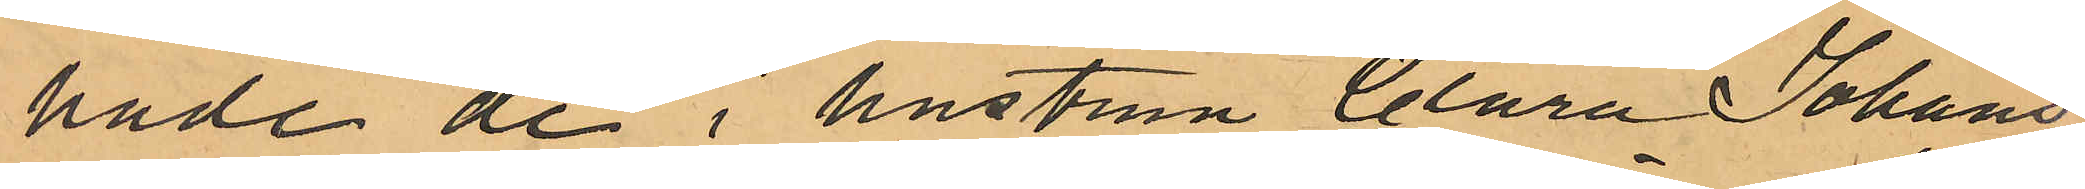hade de i hustrun Clara Johans¬
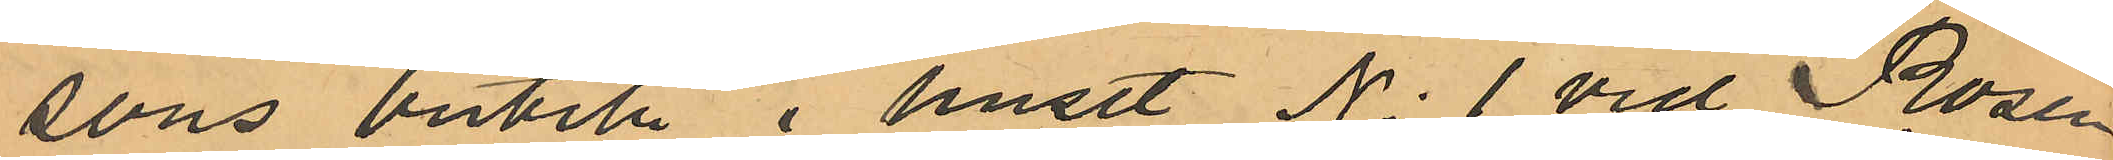sons butik i huset No 1 vid Rosen¬
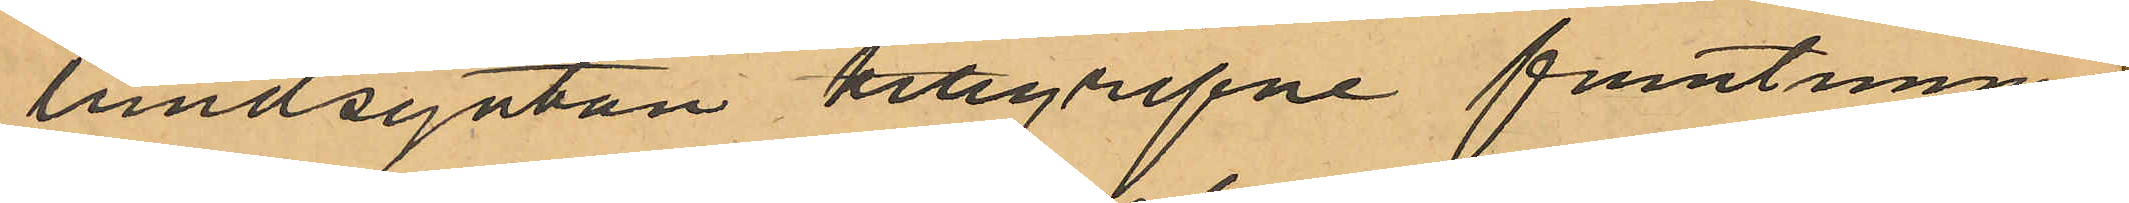lundsgatan tillgripne fruntimmers¬
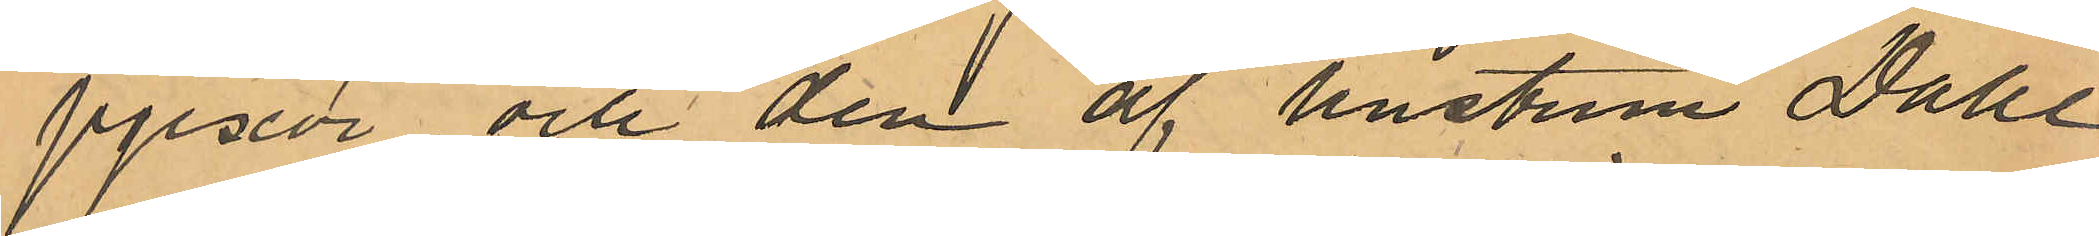pjexor och den af hustrun Dahl¬
